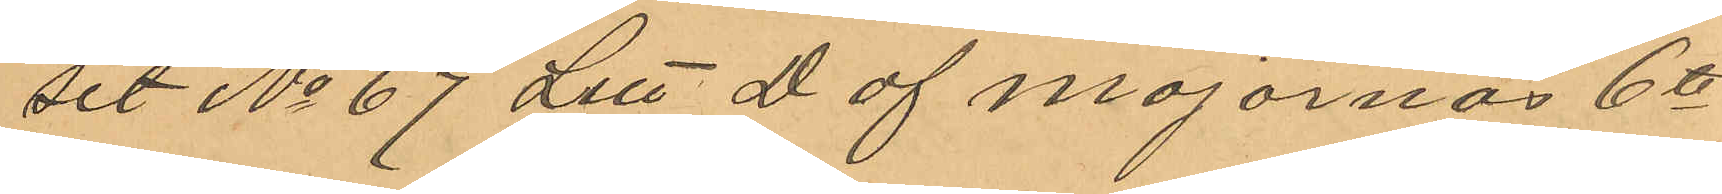set No 67 Litt D af Majornas 6te
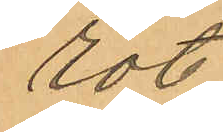rote.
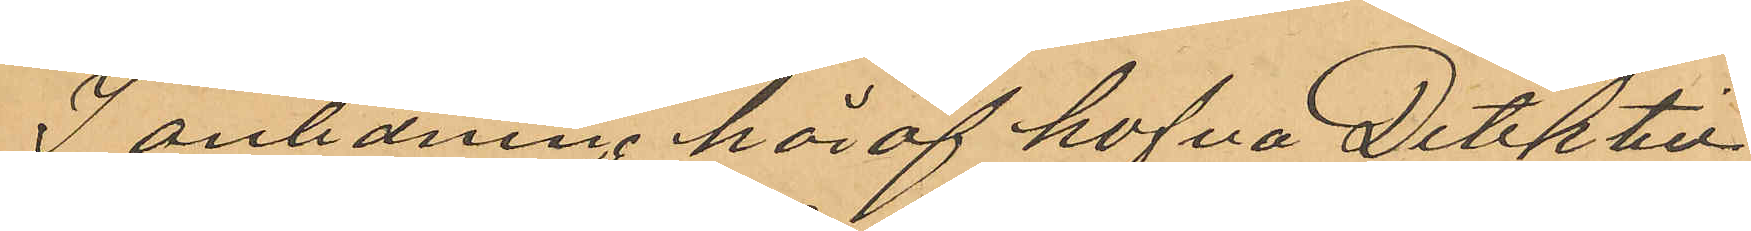I anledning häraf hafva Detektiv¬
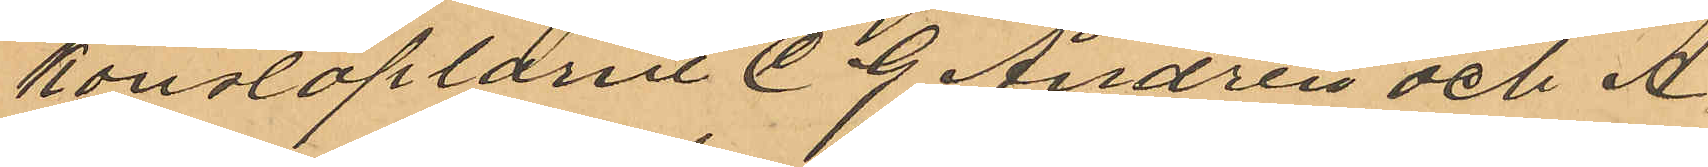konstaplarne C. G. Andrén och A
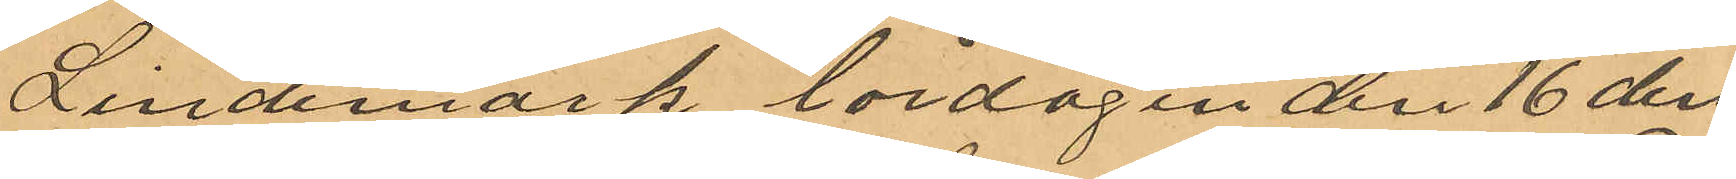Lindemark lördagen den 16 den¬
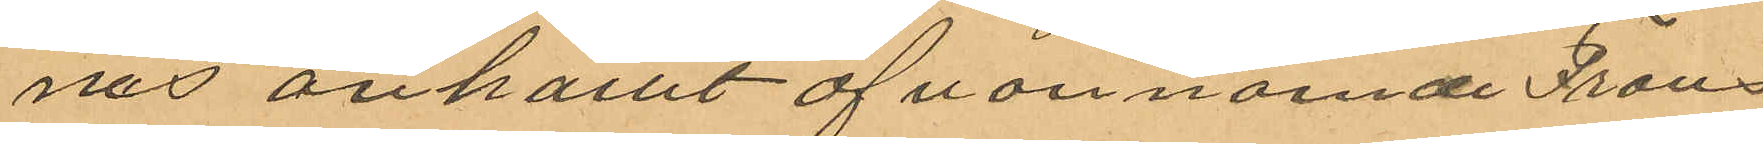nes anhållit ofvannämnde Frans
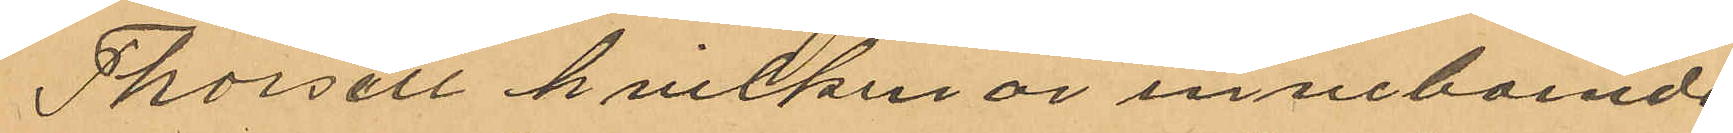Thorsell hvilken är inneboende
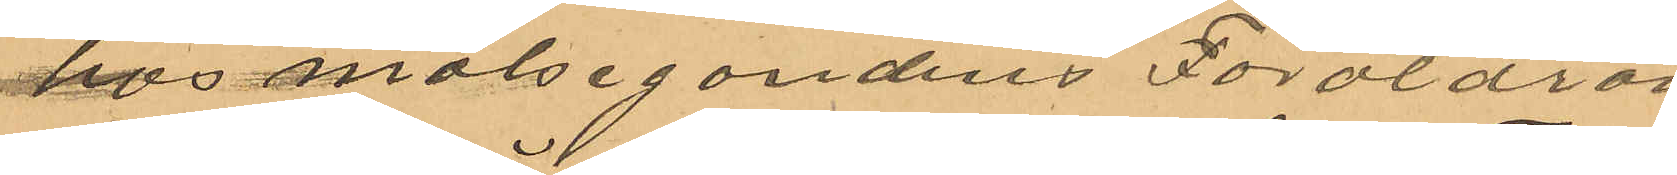hos målsegandens Föräldrar
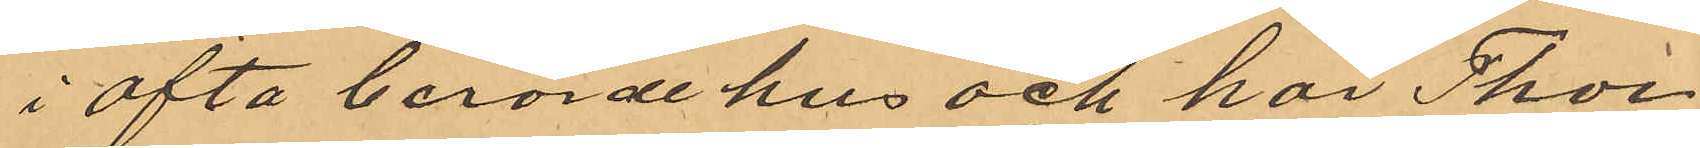i oftaberörde hus och har Thor¬
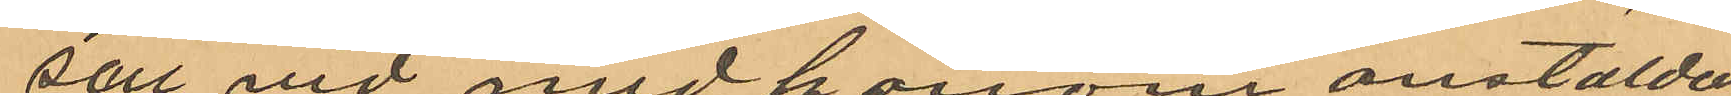sell vid med honom anstälda
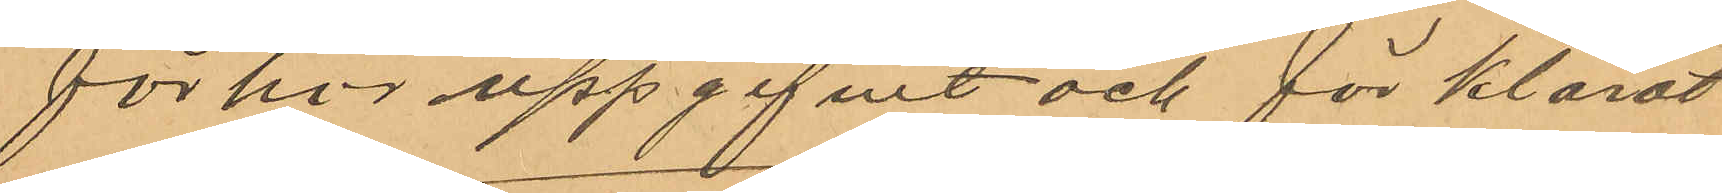förhör uppgifvit och förklarat
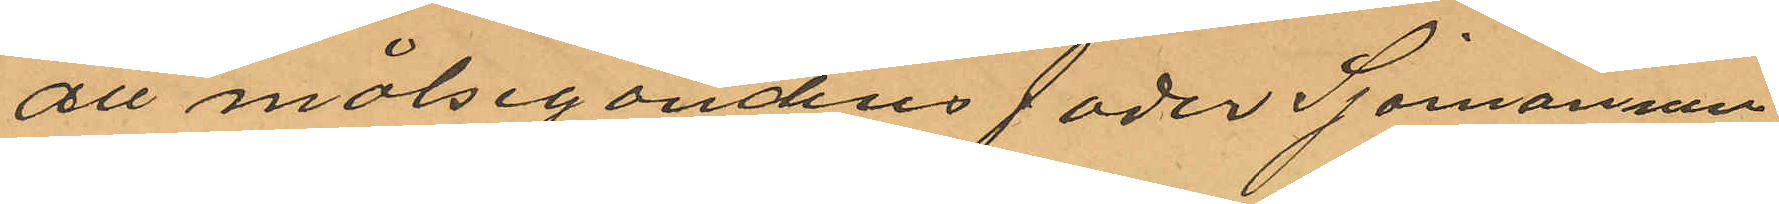att målsegandens fader Sjömannen
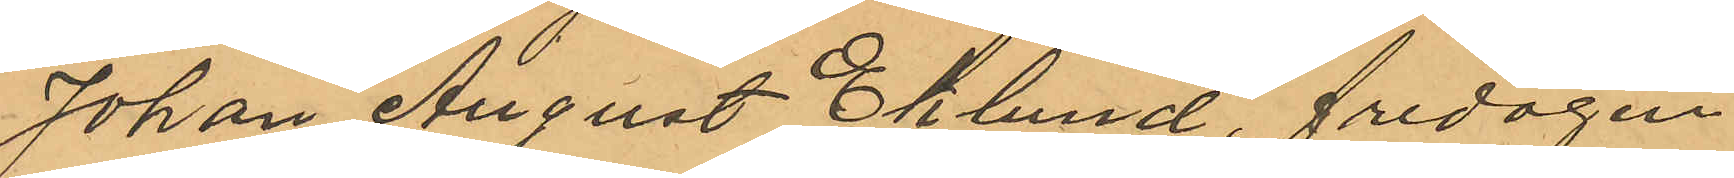Johan August Eklund, fredagen
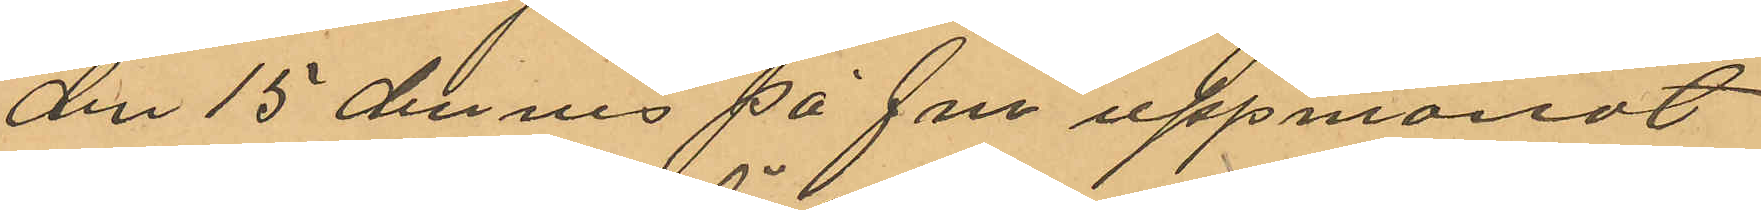den 15 dennes på fm uppmanat
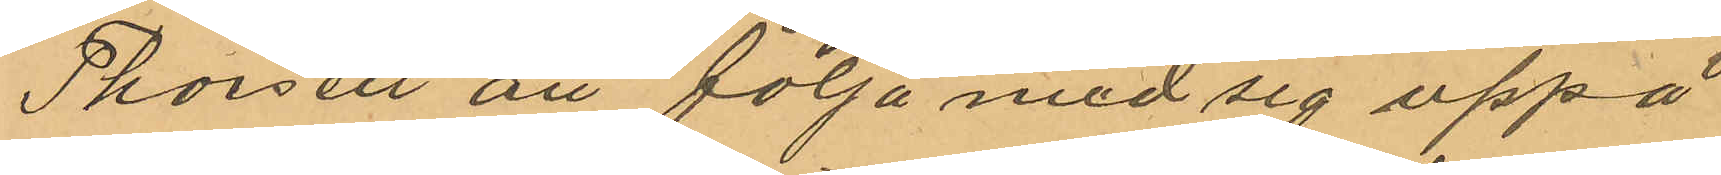Thorsell att följa med sig upp å
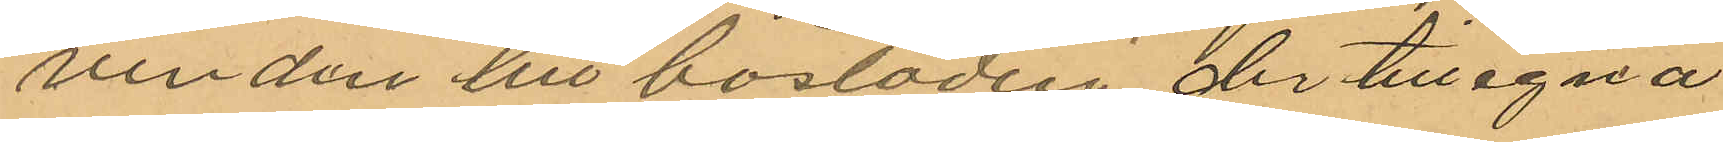vinden till bostaden, der tillegna
